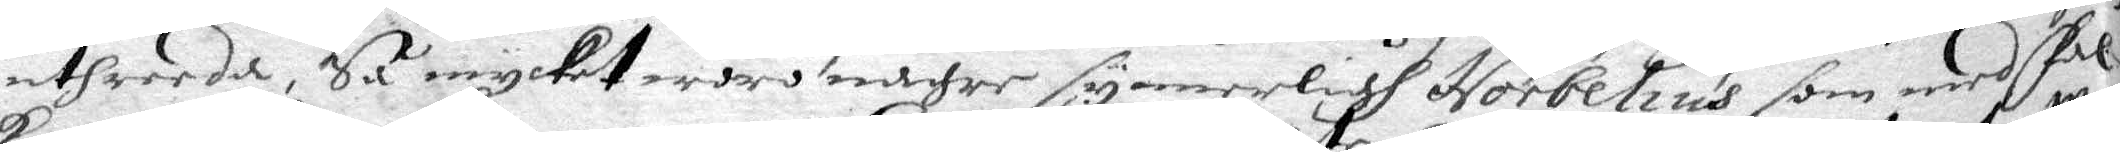uthreeda, Så mycket woro någre synnerligh Norbelius som med Fal¬
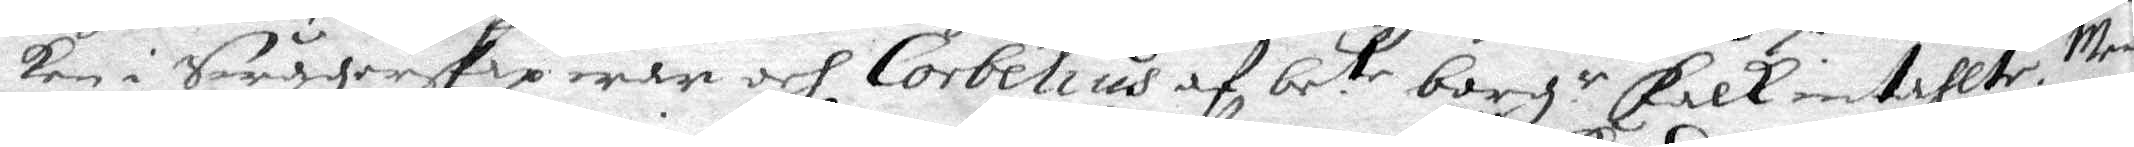ken i Swågerskap war och Corbelius af be.te borg.r Falk inkallte. Men
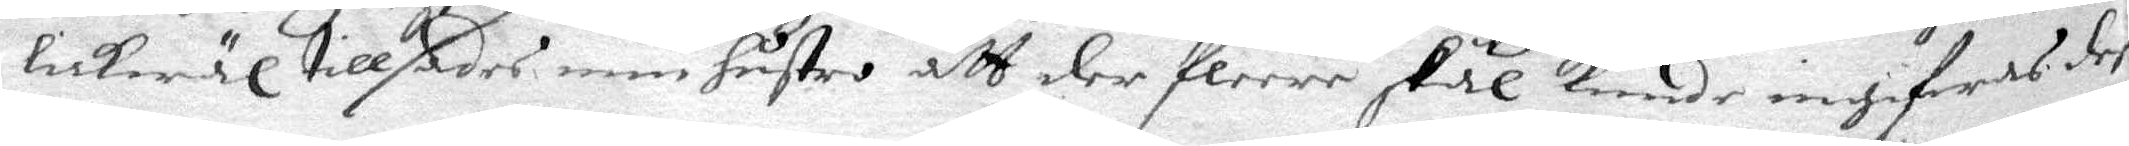lickwäl tillsades min hustro att der flere skäl kunde ingifwas deß
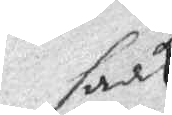saak
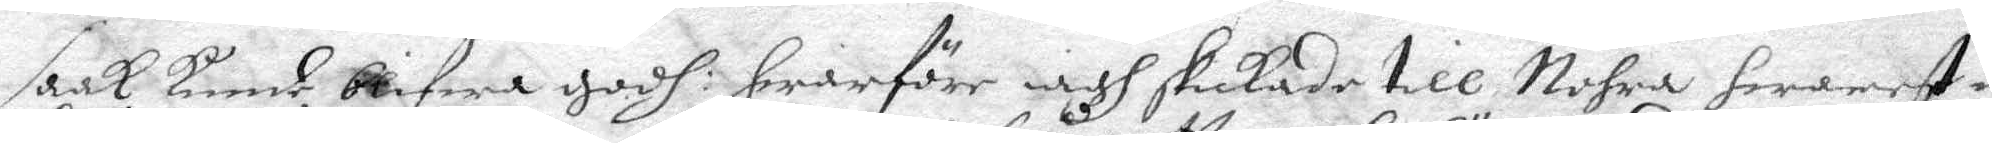saak kunde blifwa godh hwarföre iagh skickade till Nohra hwarest min
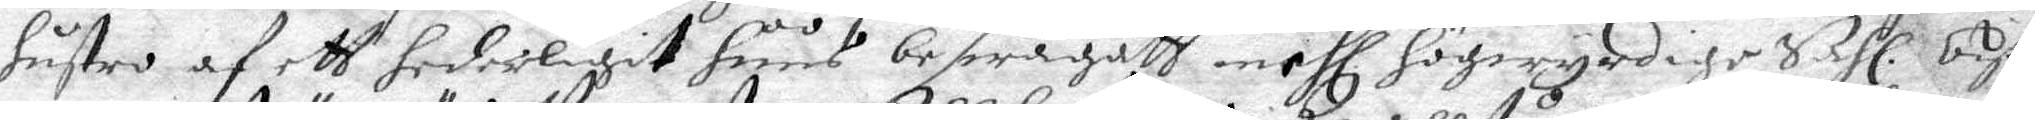hustro af ett hederligit huus beswågatt ... Hl. Högwyrdige Sahl. Bisko¬
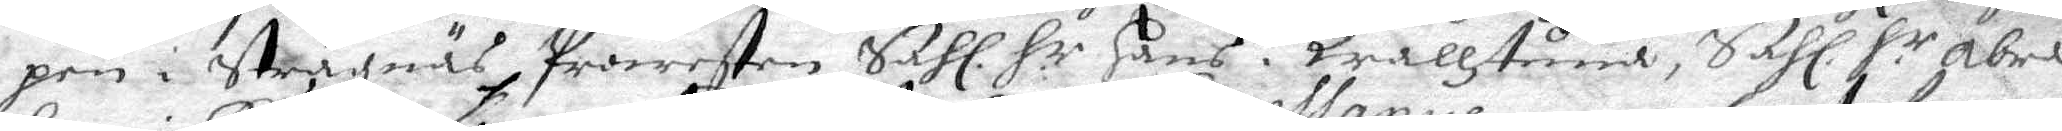pen i Strägnäs Prowesten Sahl. H.r Hans i Qrallstuna, Sahl. H.r Abra¬
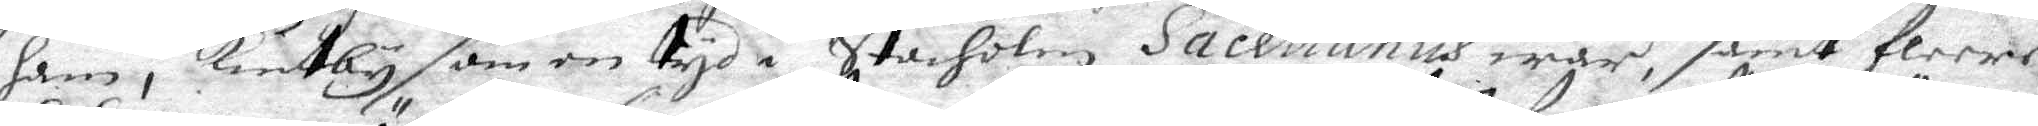ham i Knutby som en tyd i Stocholm Sacellanus war, samt fleere
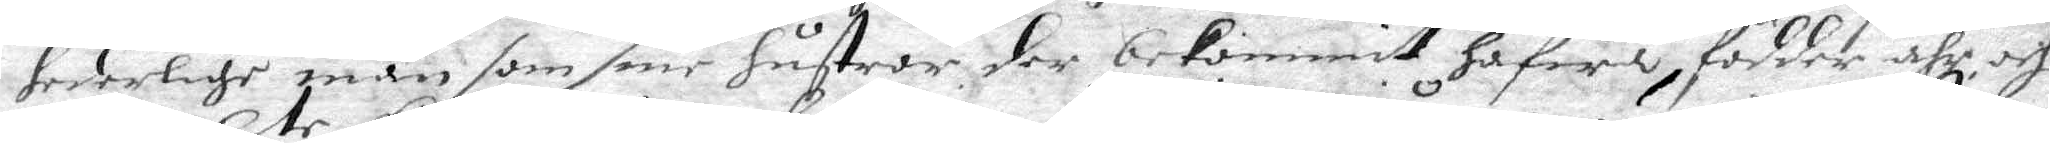hederlige män som sine hustror der bekommit hafwa, födder ähr och
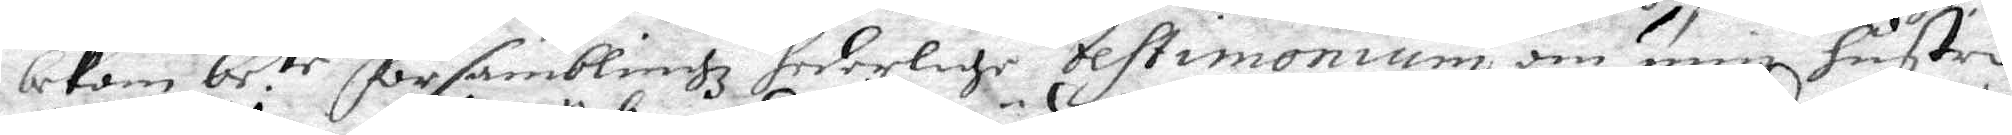bekom be.tr församblingz hederlige Testimonium om min hustru
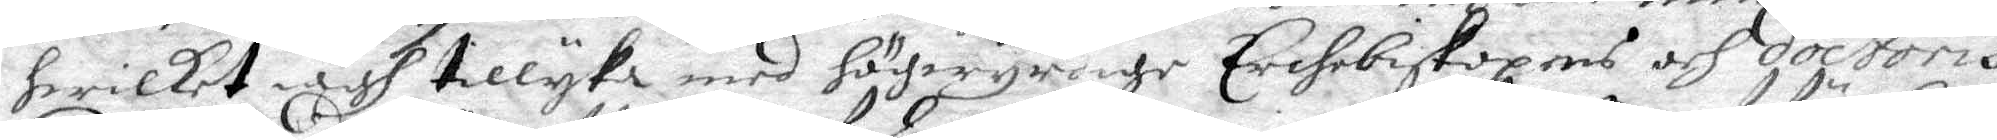hwilket iagh tillyka med högwyrdige Erchebiskopens och doctoris
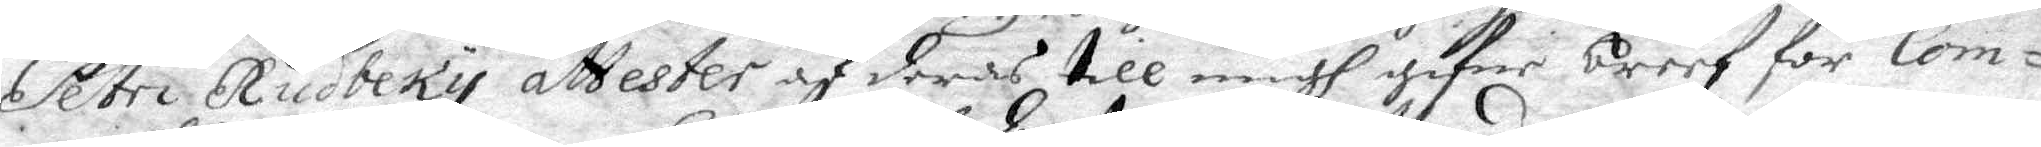Petri Rudbeky attester af deras till migh gifne breef för Com¬
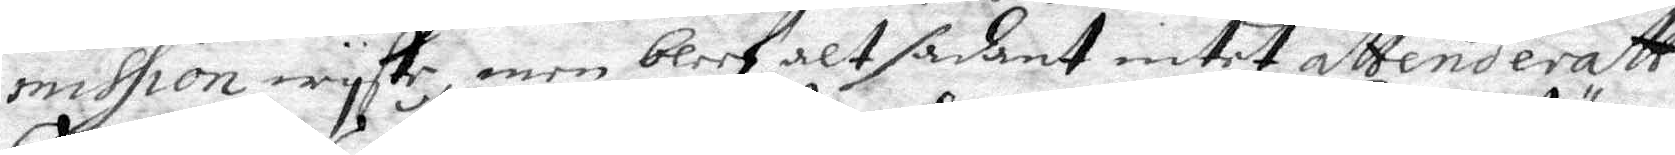mission wyste, men bleef alt sådant intet attenderatt.
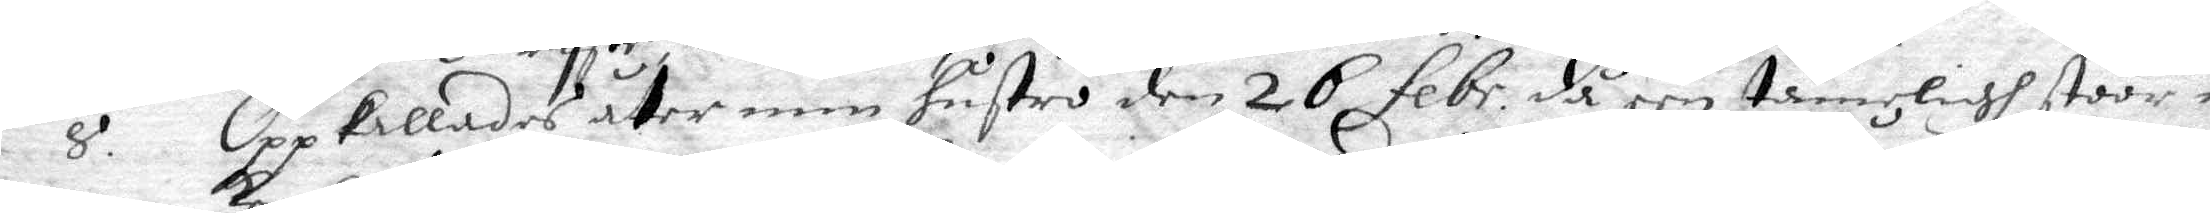8. Oppkallades åter min hustro den 26 febr. då een tämeligh stoor myc¬
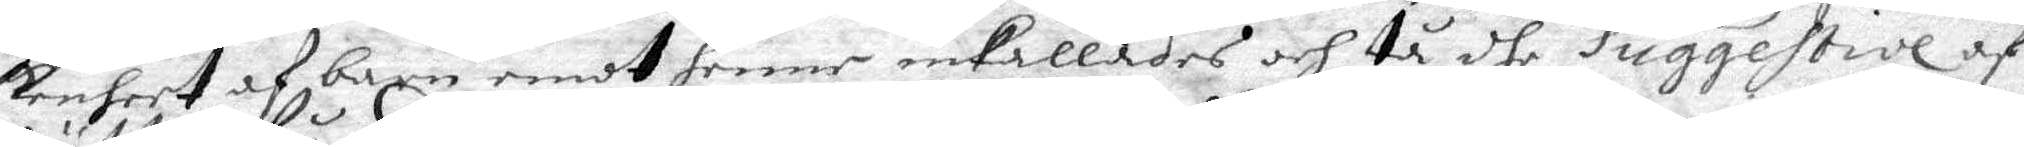kenheet af barn emot henne inkallades och tå dhe suggestive af
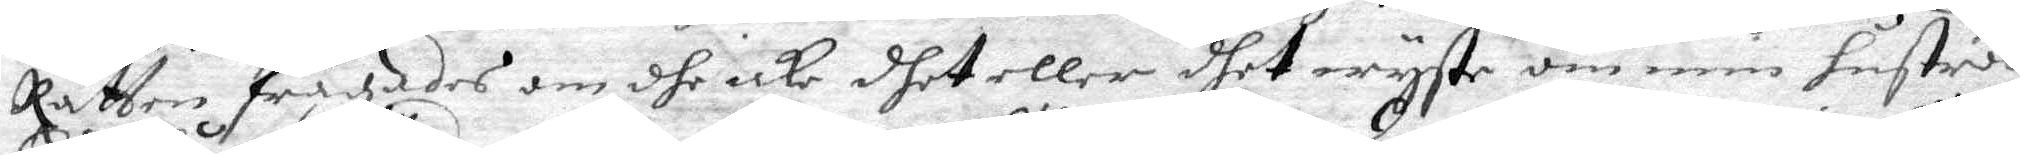Rätten frågades om dhe icke dhet eller dhet wyste om min hustros
